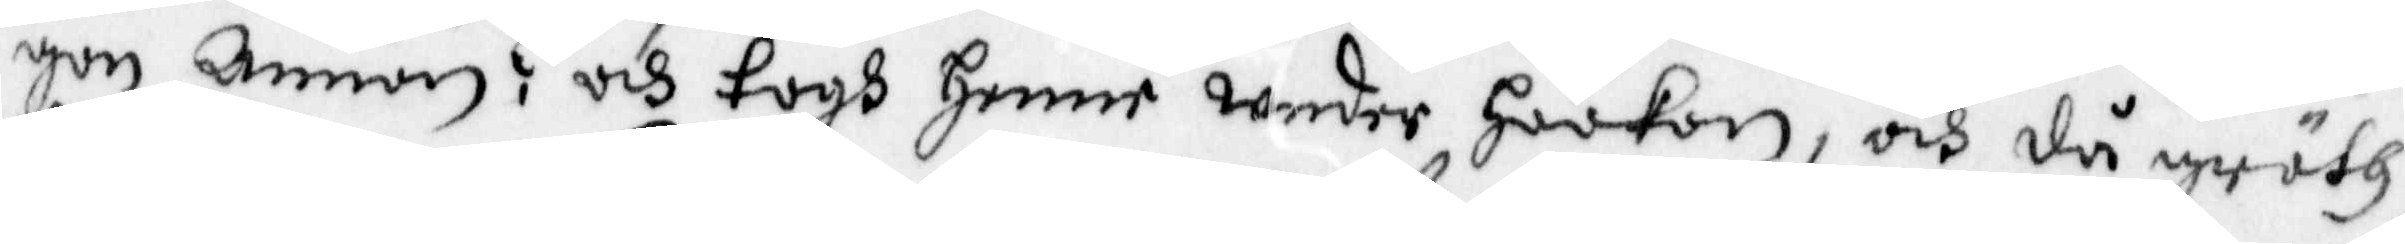gon Annan? och togh henne Under Haakon, och då gräth
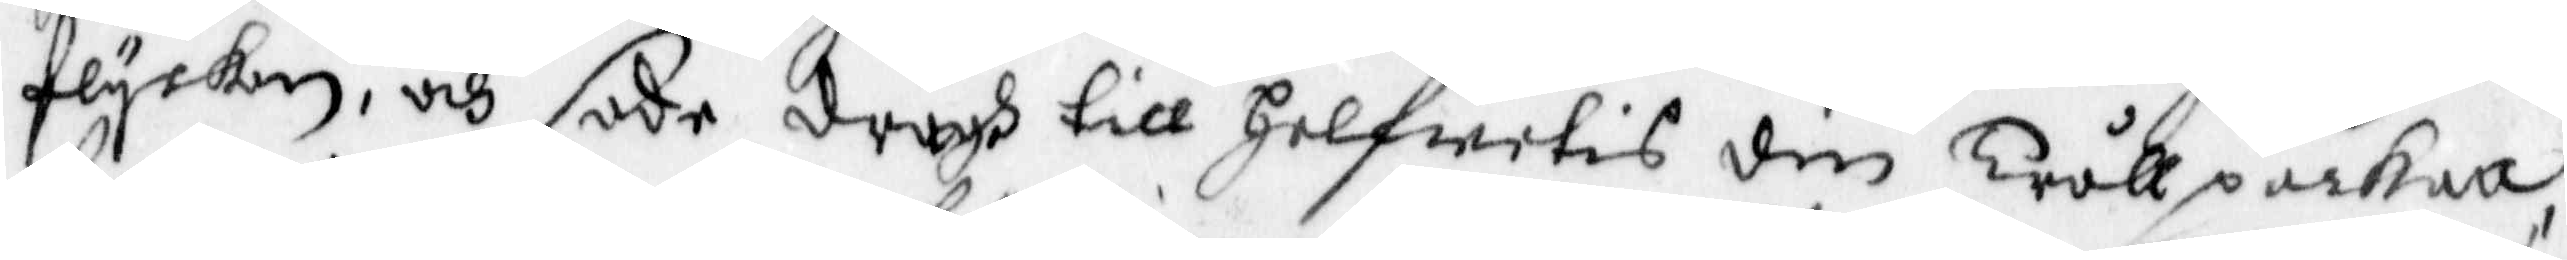flyckan, och sade dragh till Helfwetis din Trållpackan
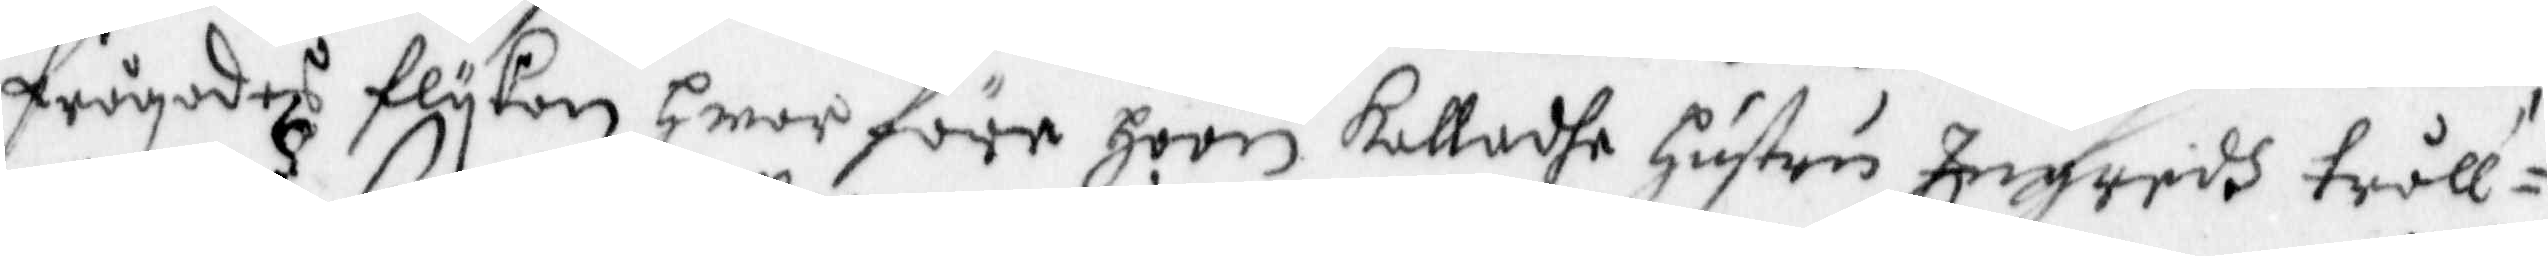frågades flykan hwar före hoon kalladhe Hustru Ingridh tråll¬
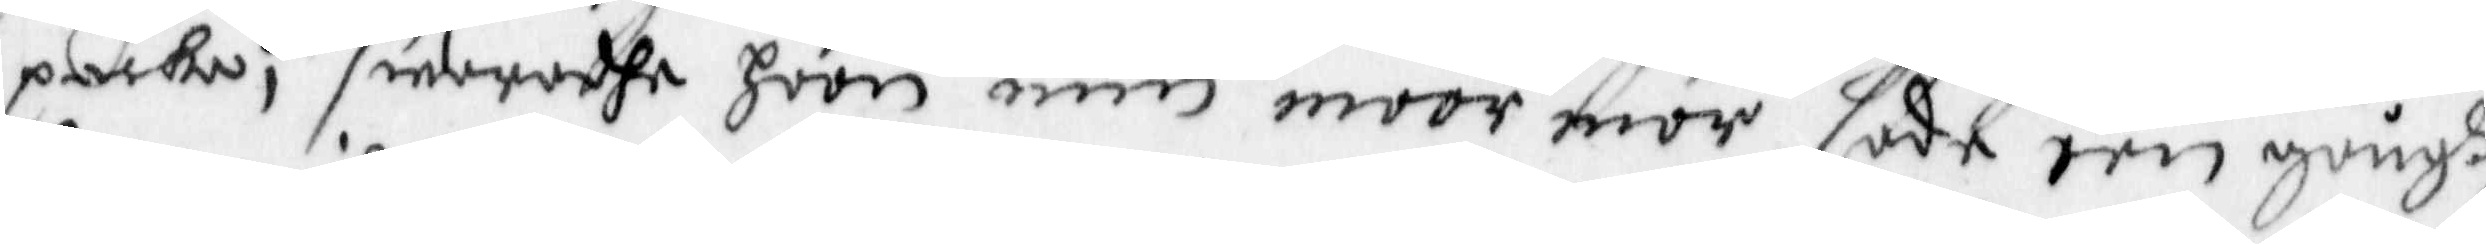packa, swaradhe hoon min moor mor sade een gångh
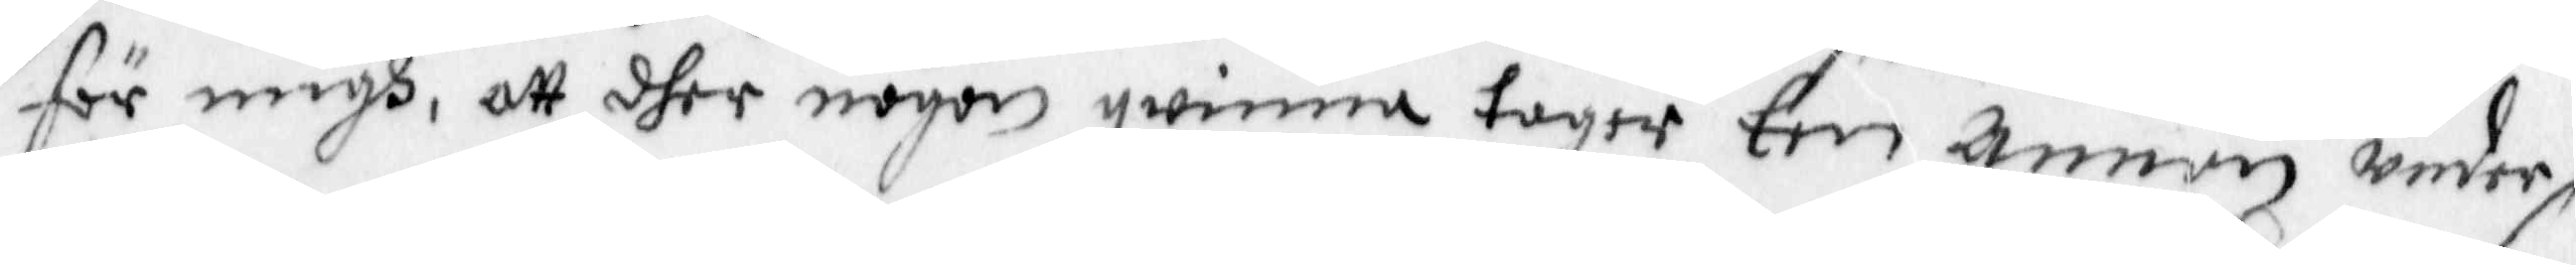för migh, att dher någon qwinna tager Een annan under
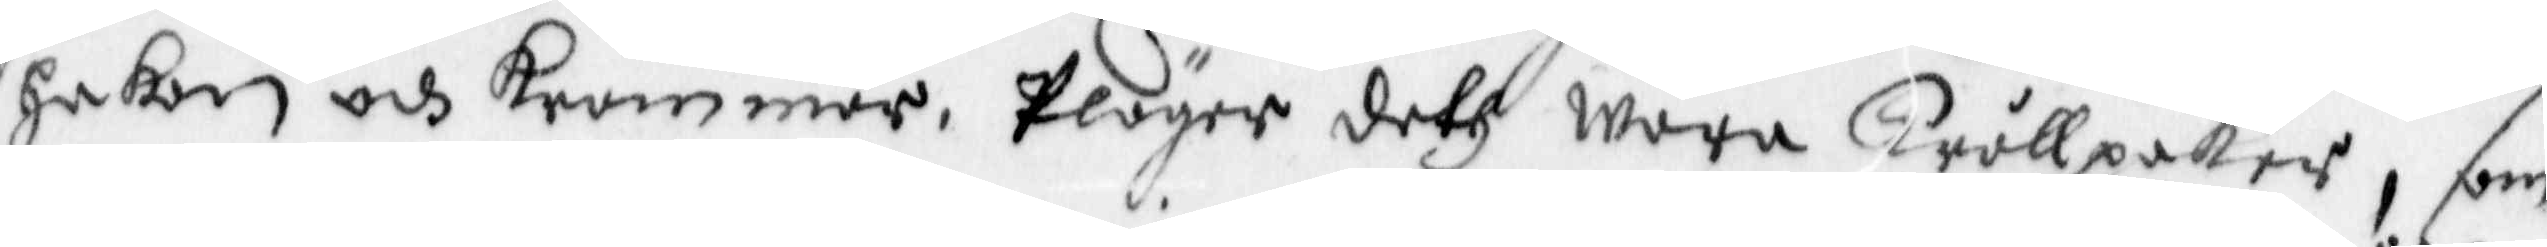Hakan och krammer, Pläger deth wara Trållpackor, som
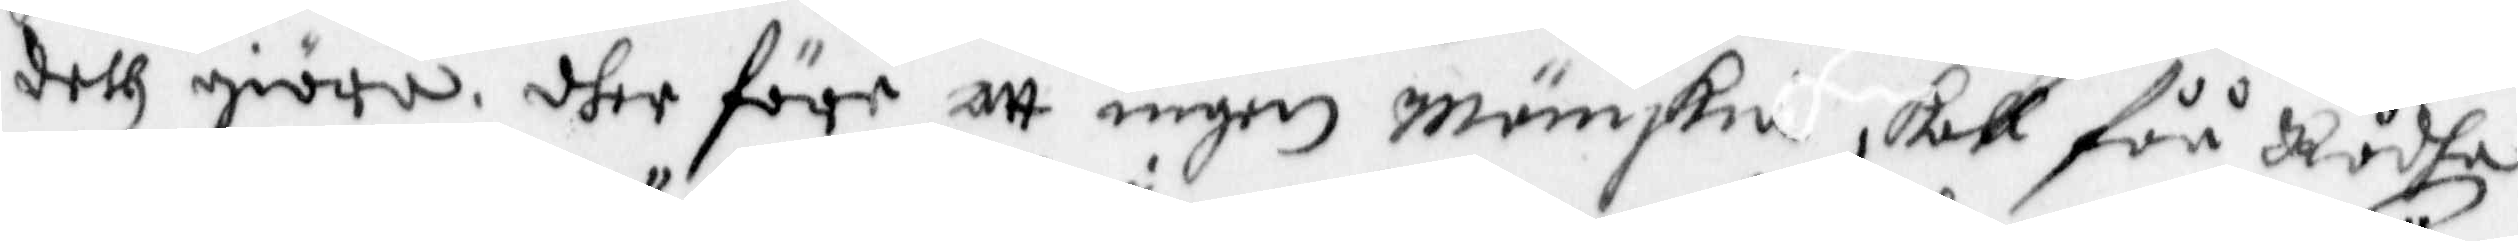deth giöra, dher före att ingen Mänskie skall fåå Rådha
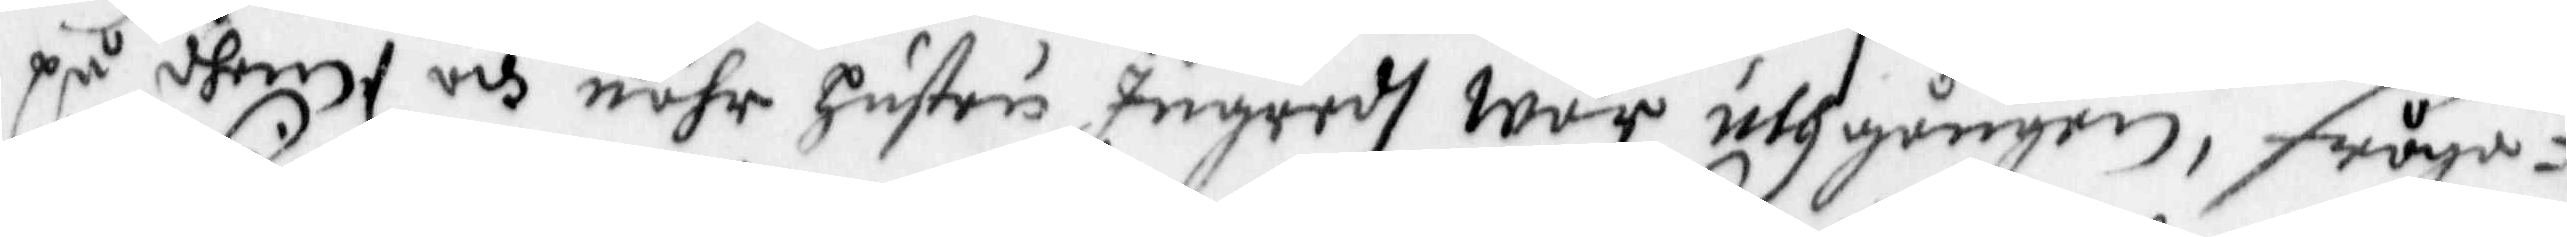på dhem, och nähr Hustru Ingredh war uthgången, fråga¬
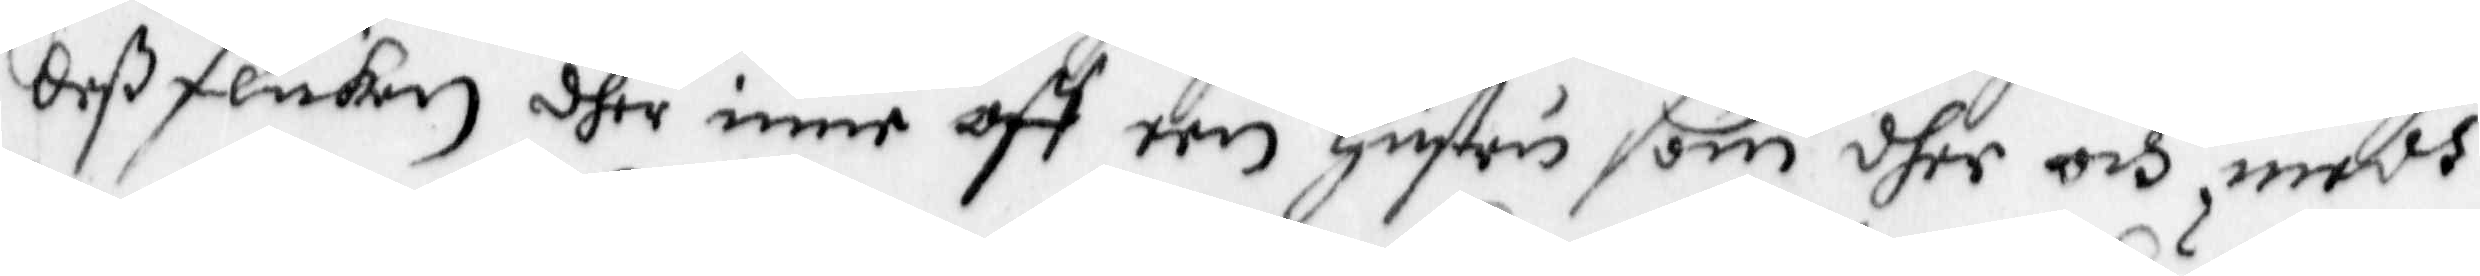deß flicka dher inne aff een Hustru som dher och medh
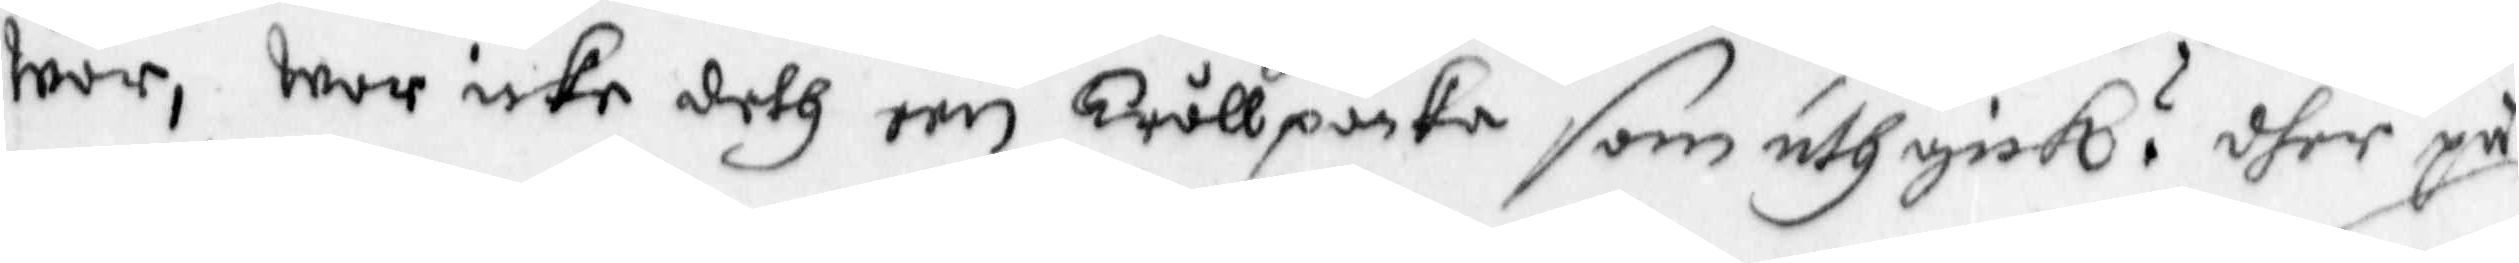wor, war icke deth een Trållpacka som uthgick? dher på
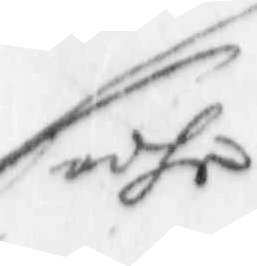sadhe
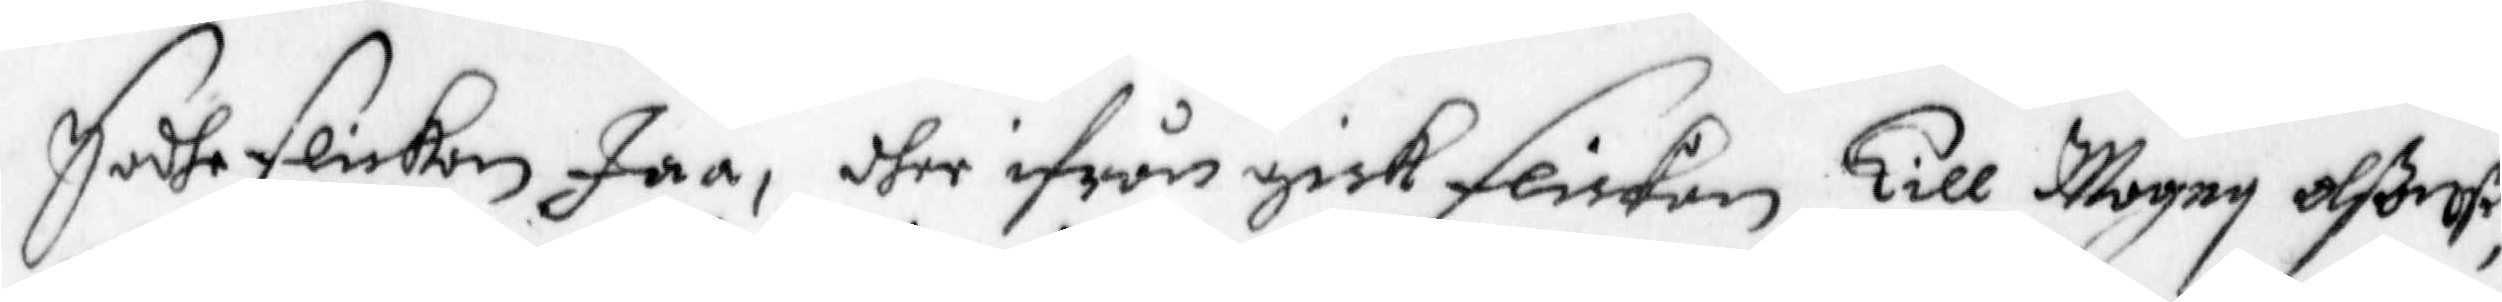Sadhe flickan Jaa, dher ifrån gick flickan till Magny olßonß,
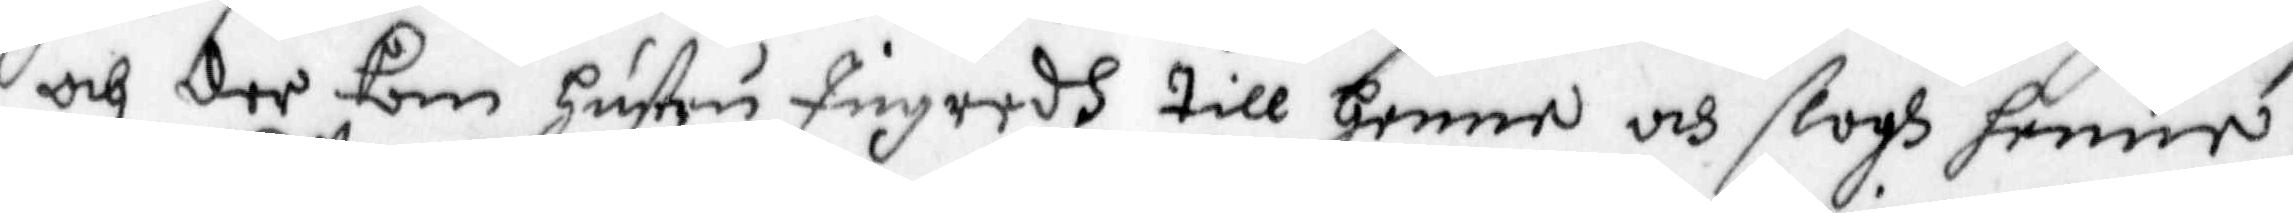och der kom Hustru Ingredh till henne och slogh henne,
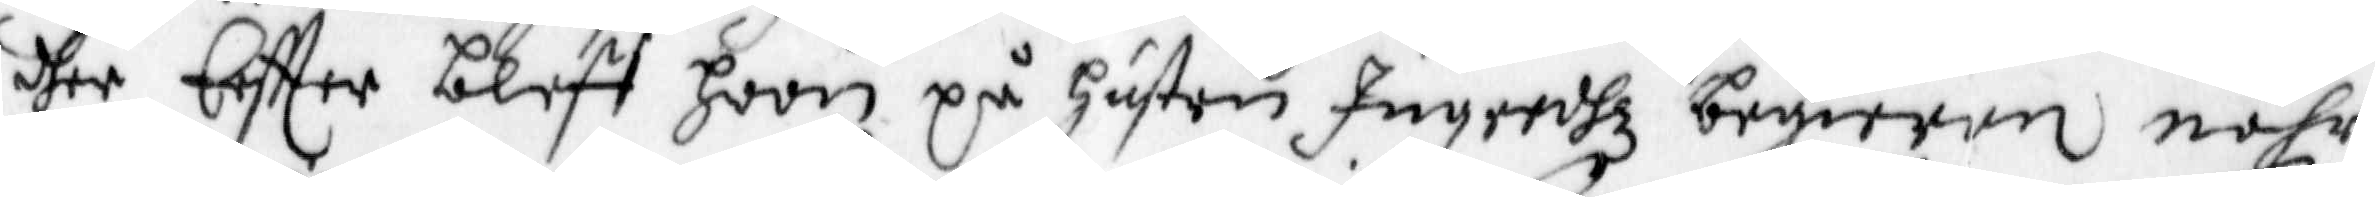dher Eftter bleff hoon på Hustru Ingredhz begiäran nähr
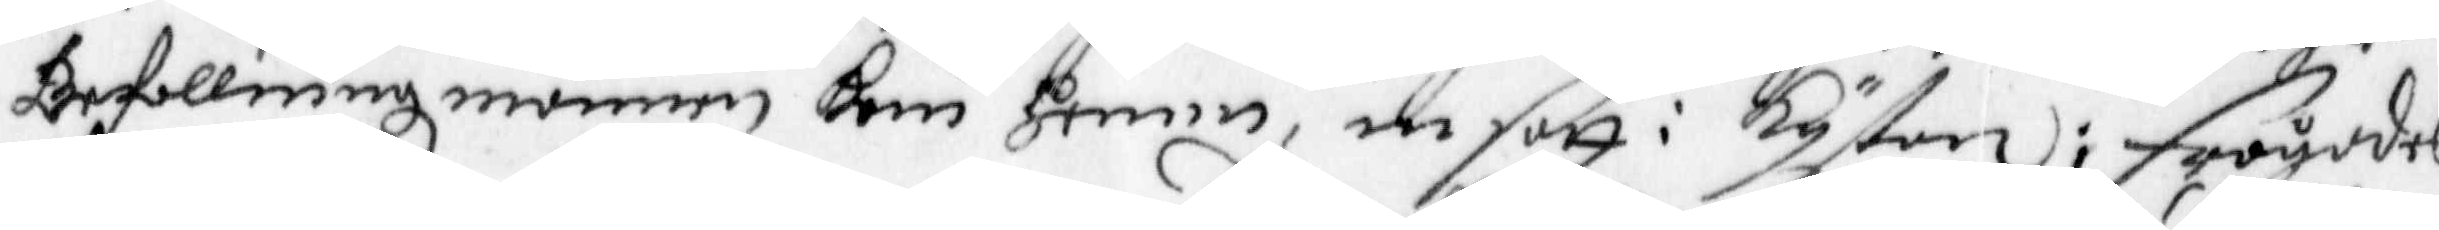Befallningz mannen kom hemm, in satt i kystan; Frågades
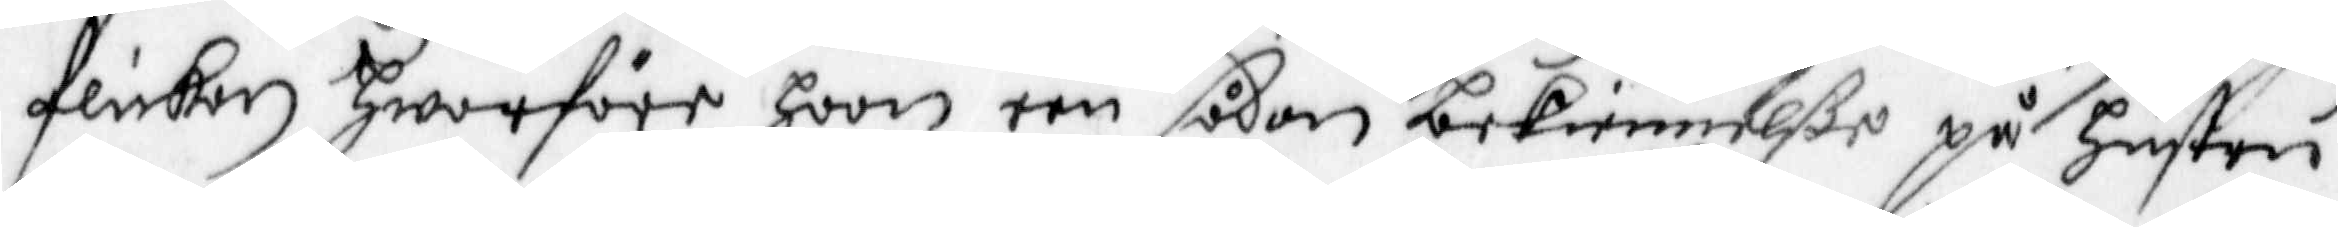flickan Hwarföre hoon een sådan bekiennellße på Hustru
